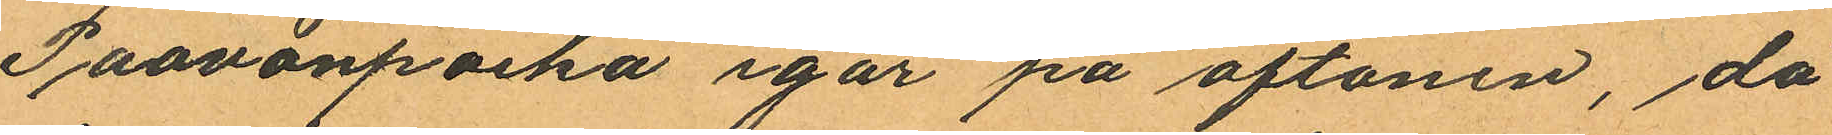Paavonpoika igår på aftonen, då
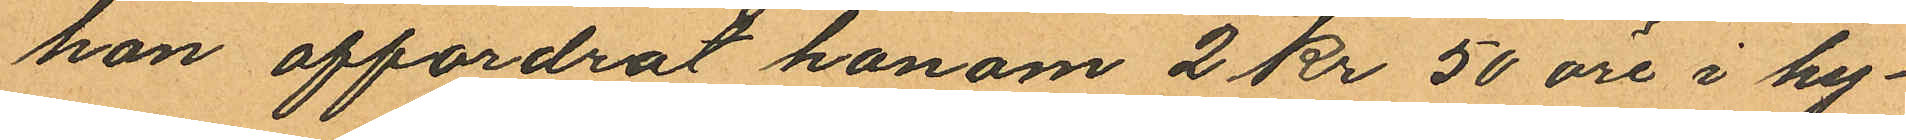hon affordrat honom 2 kr 50 öre i hu¬
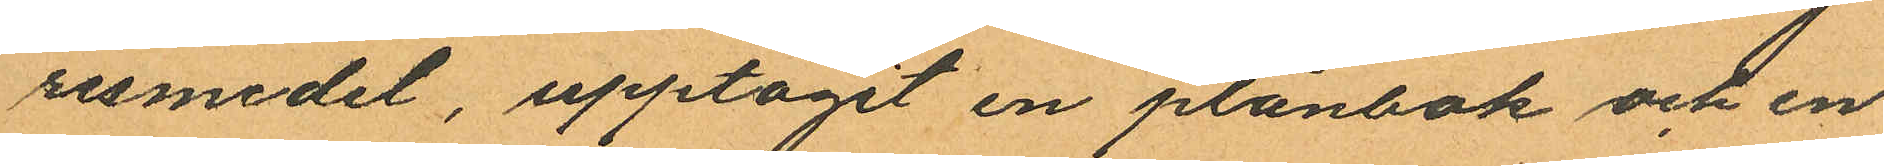resmedel, upptagit en plånbok och en
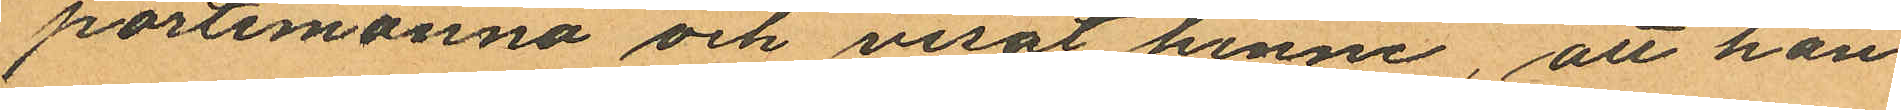portemonnä och visat henne, att han
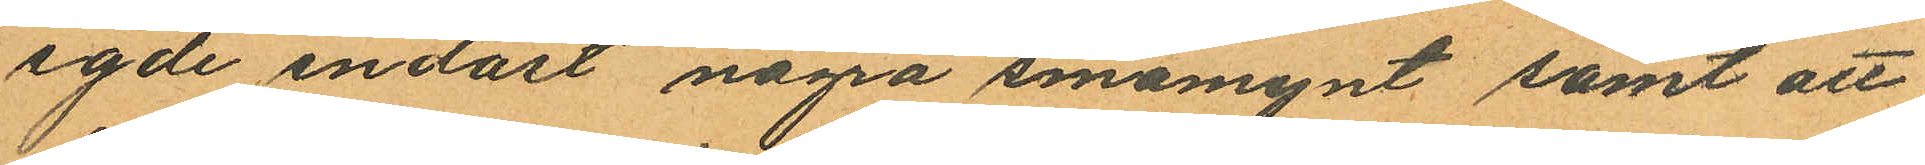egde endast några småmynt samt att
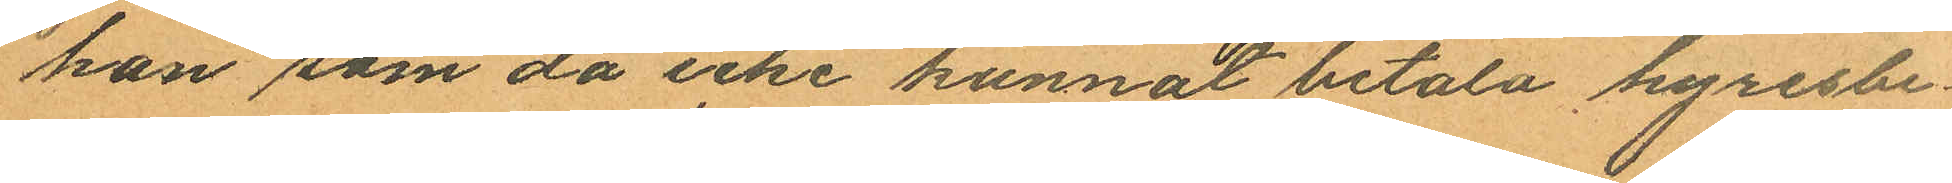han som då icke kunnat betala hyresbe¬
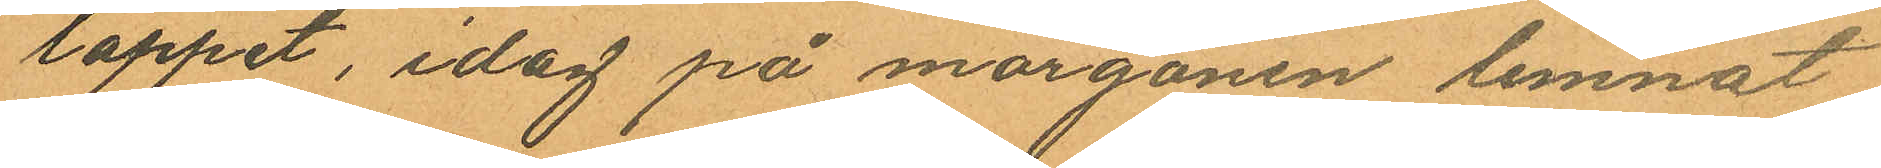loppet, idag på morgonen lemnat
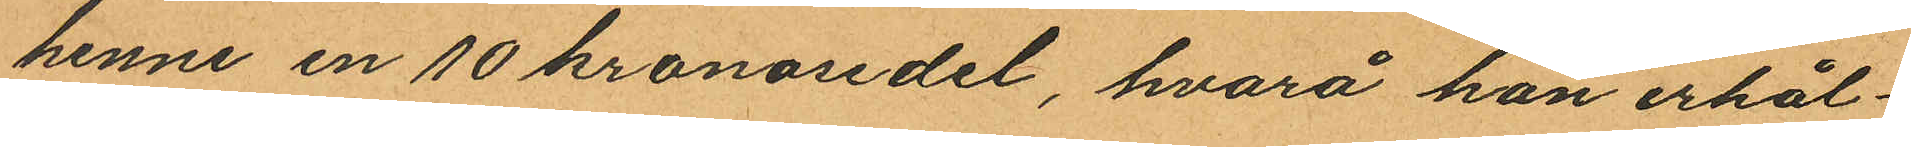henne en 10 kronosedel, hvarå han erhål¬
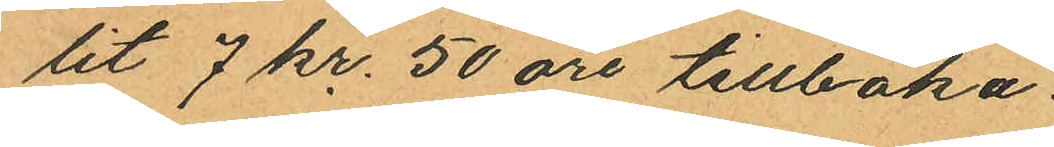tit 7 kr. 50 öre tillbaka.
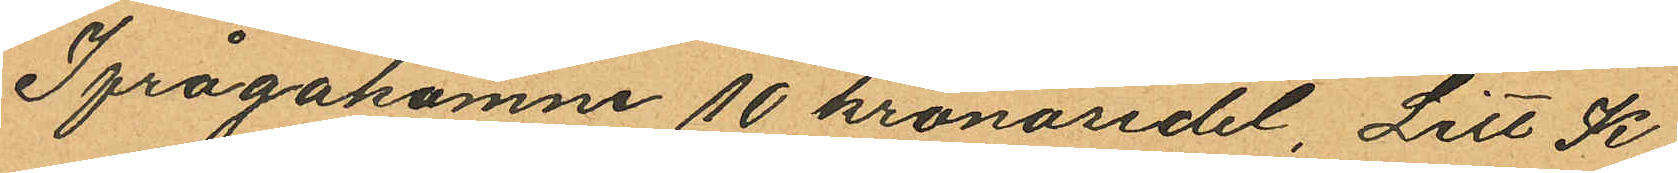Ifrågakomne 10 kronosedel, Litt K
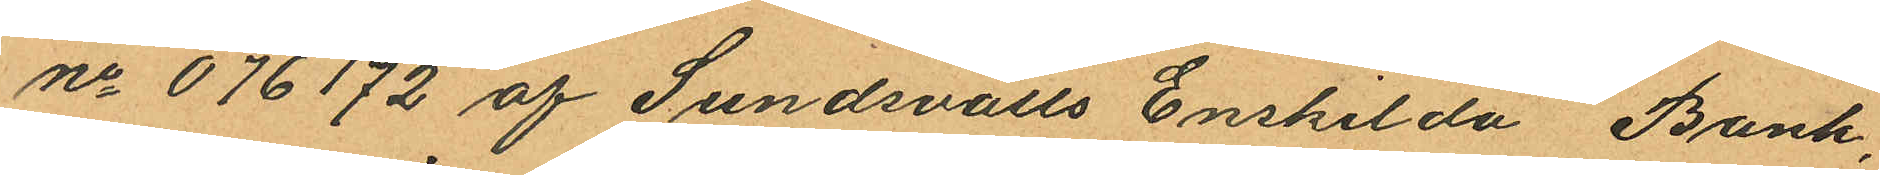no 076172 af Sundsvalls Enskilda Bank,
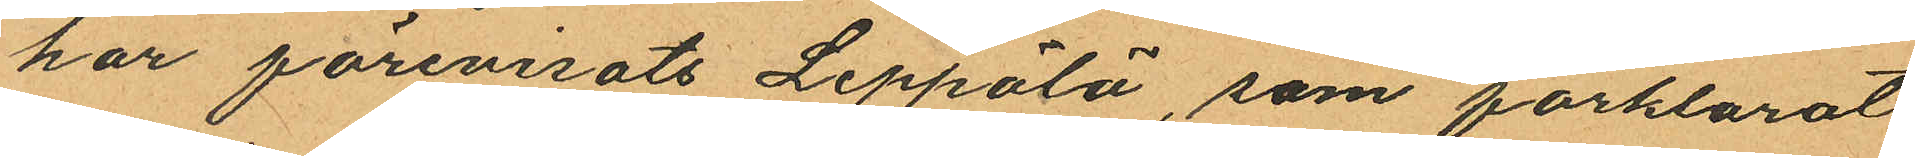har förevisats Leppälä, som förklarat
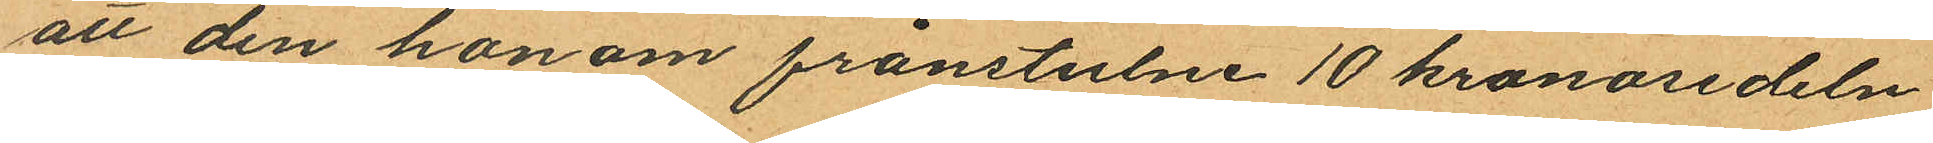att den honom frånstulne 10 kronosedeln
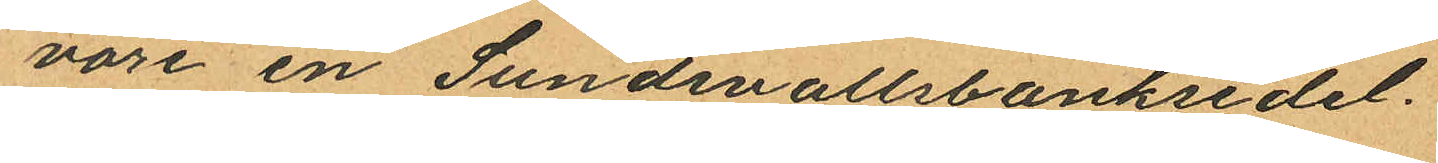vore en Sundsvallsbanksedel.
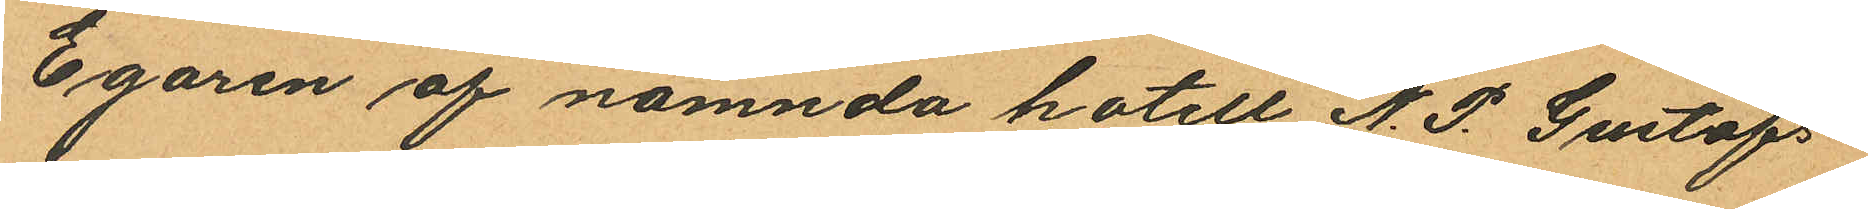Egaren af nämnda hotell N. P. Gustafs¬
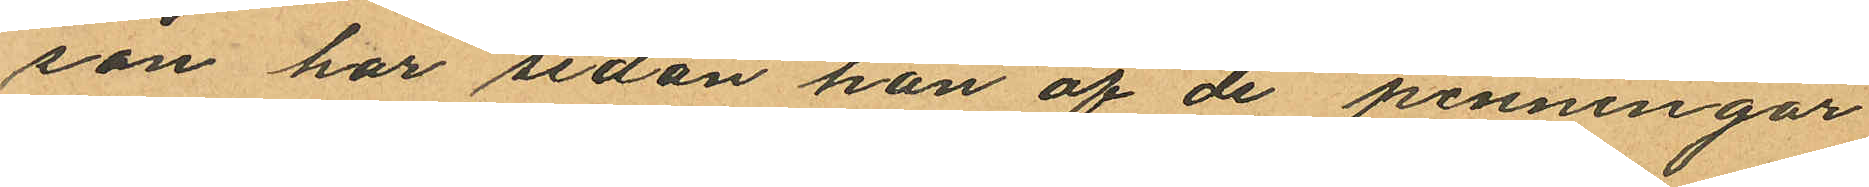son har sedan han af de penningar
